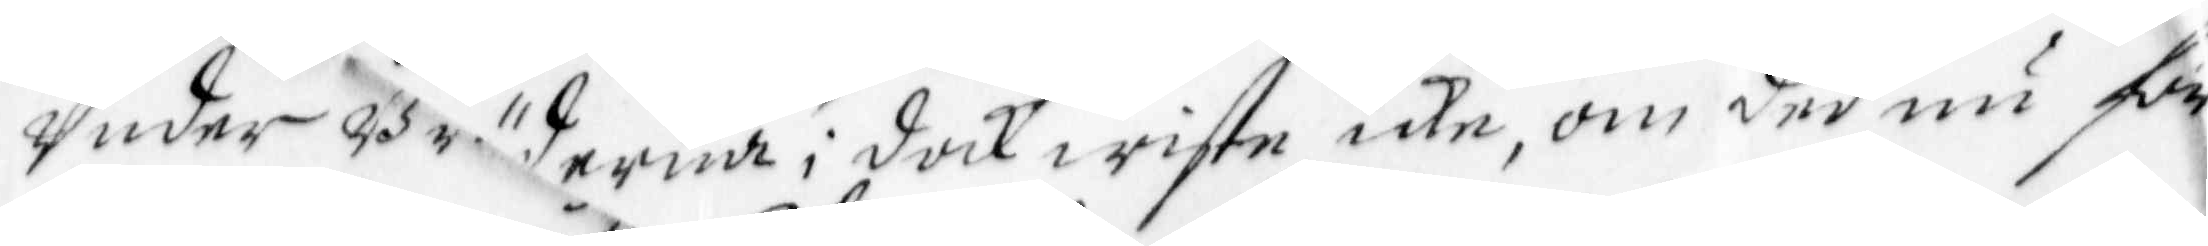Under Bräderna; doch wiste icke, om ded nu för
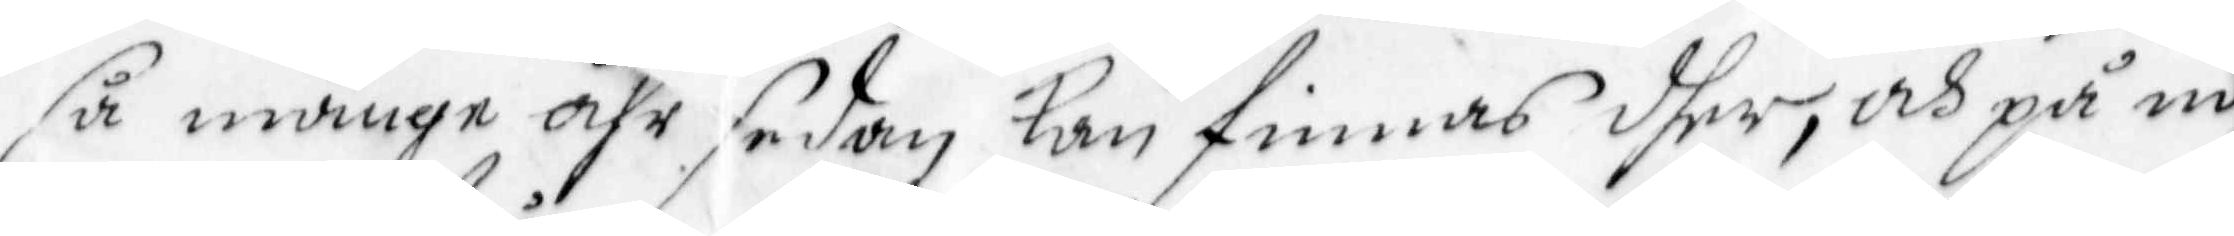så månge åhr sedan Kan finnas dher, och på no¬
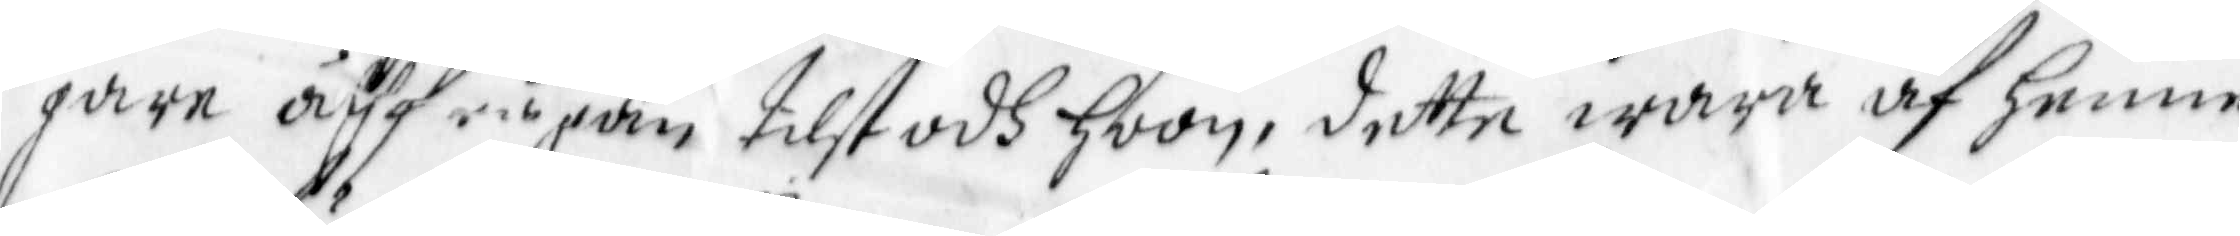gare åtfrågan tillstodh hoon, dette wara af henne
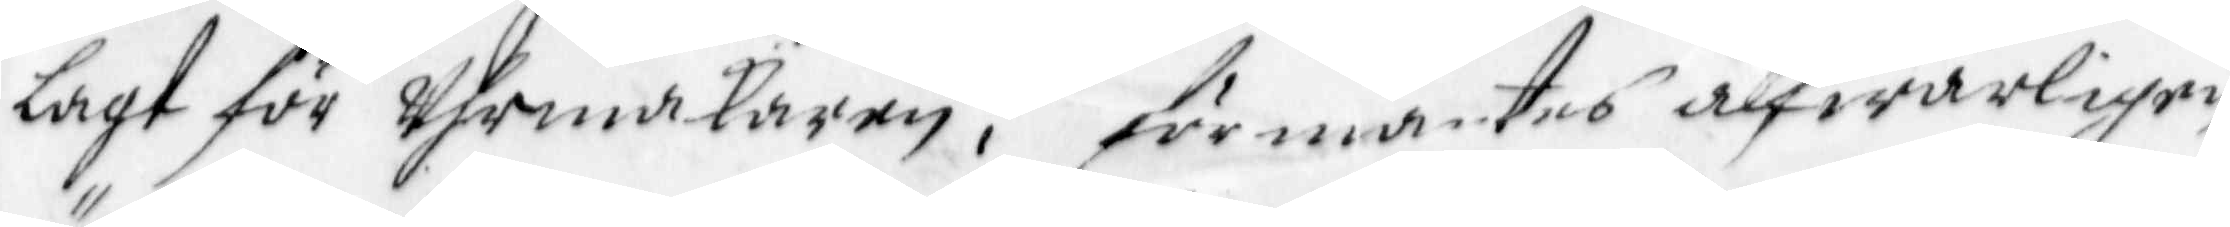lagt för Uhrmakaren, förmantes alfwarligen
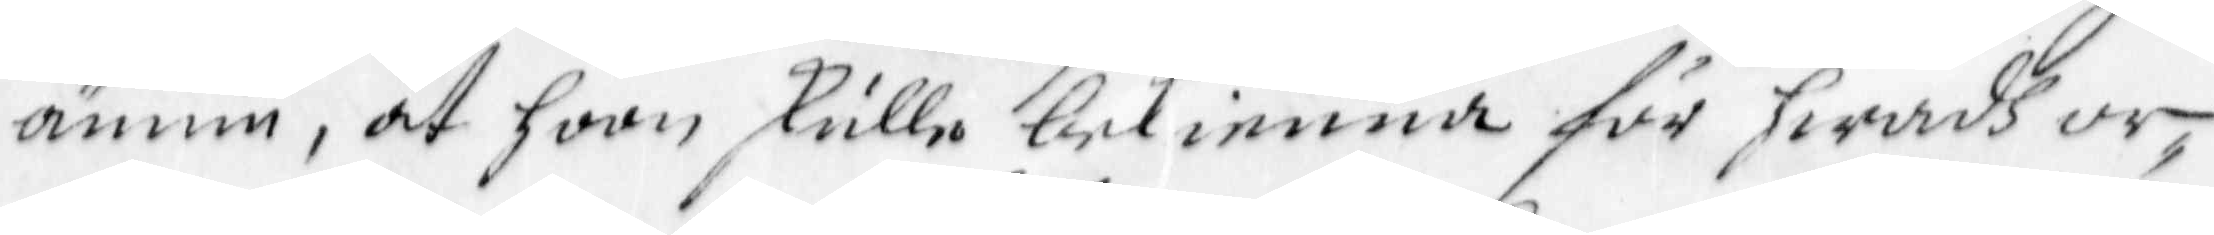ännu, at hoon skulle bekienna för hwadh or¬
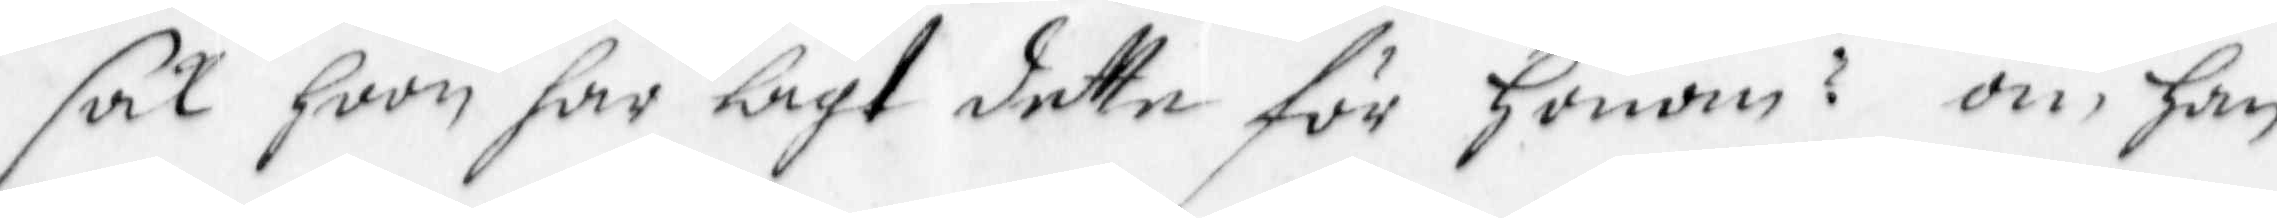sak hoon har lagt dette för Honom? om han
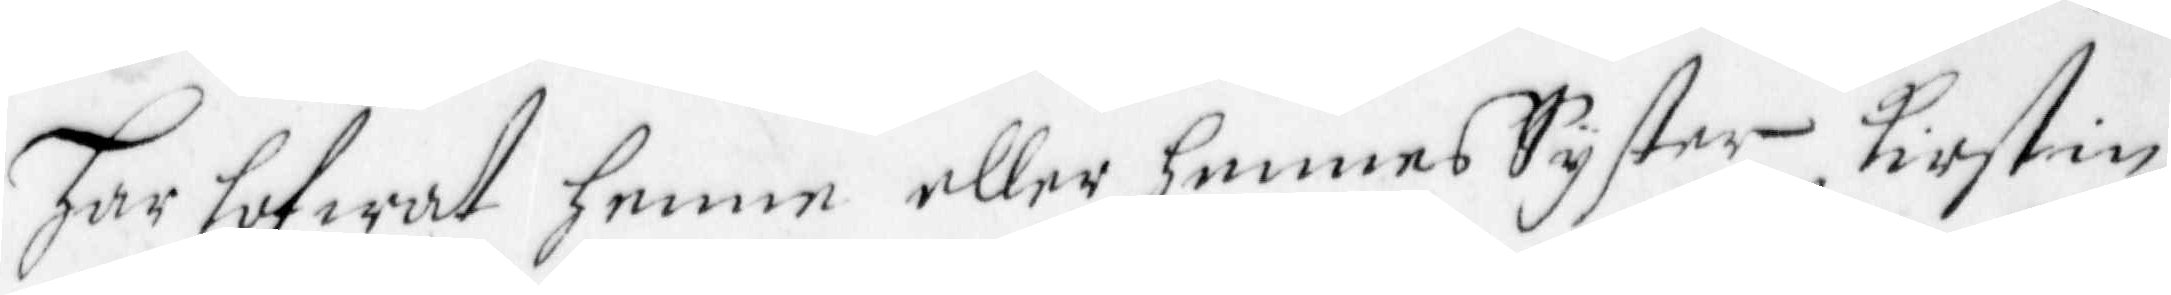har lofwat henne eller hennes Syster Kirstin
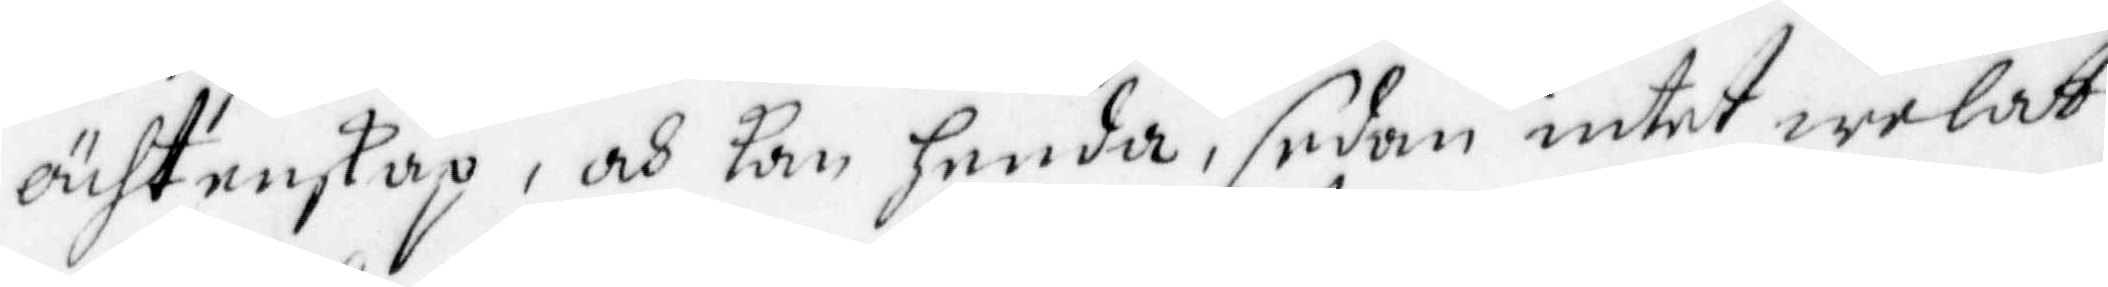ächtenskap, och kan henda, sedan intet welat
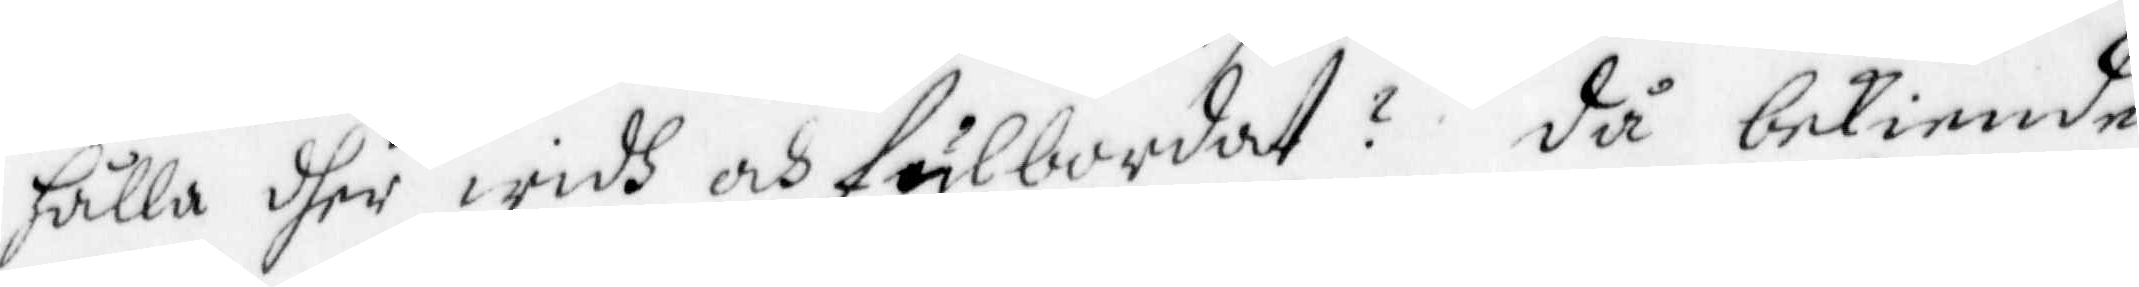hålla dher widh och fulbordat? då bekiende
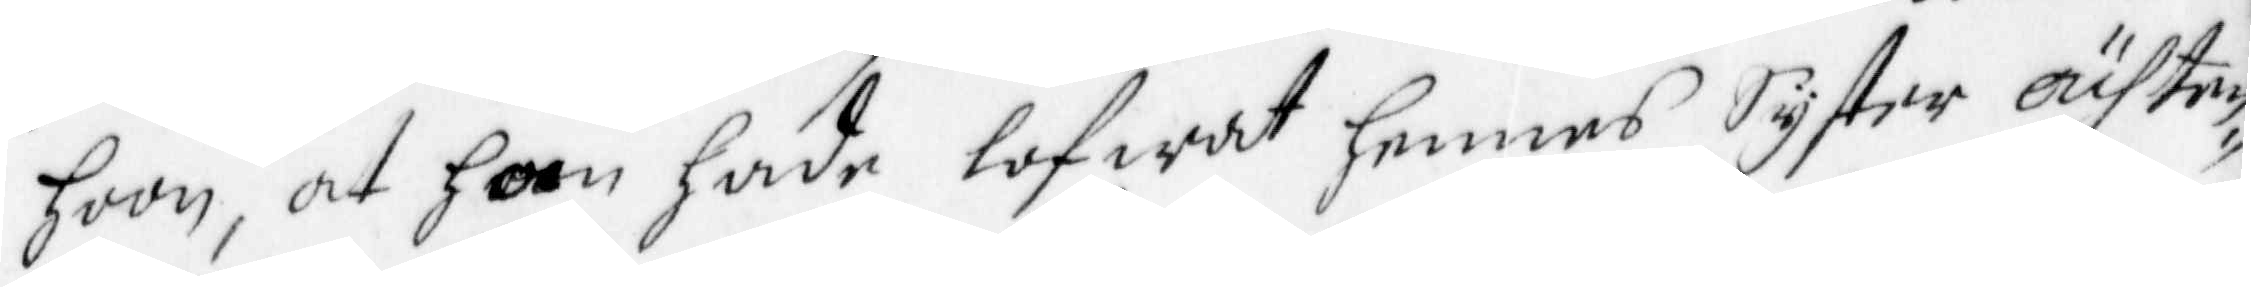hoon, at han hade lofwat hennes Syster ächten¬
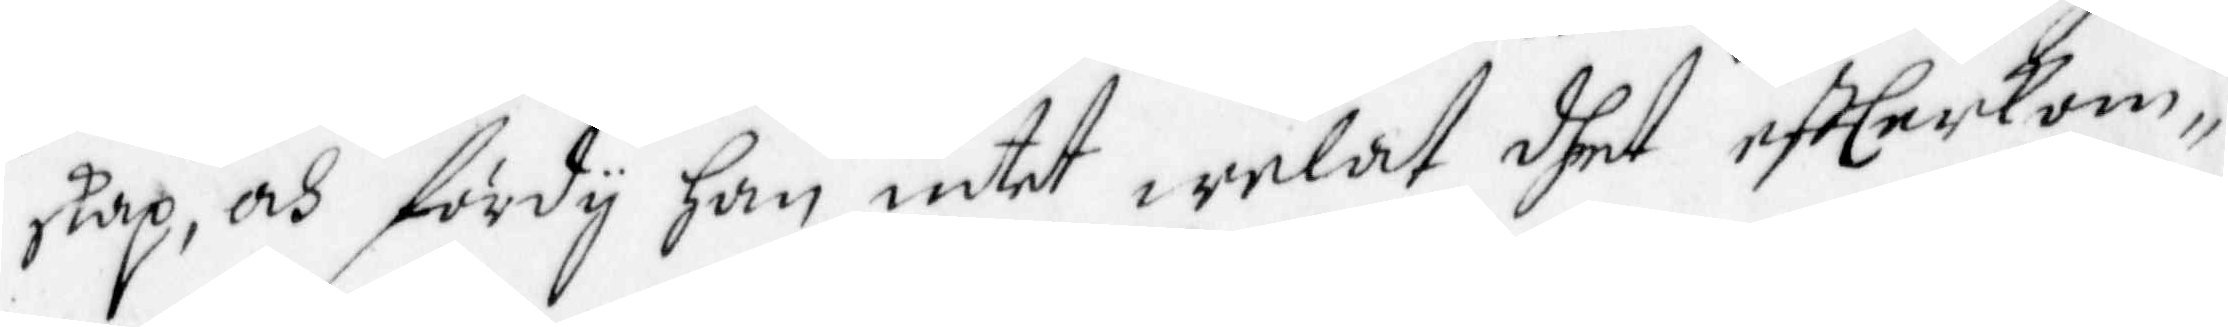skap, och fördy han intet welat dhet effterkom¬
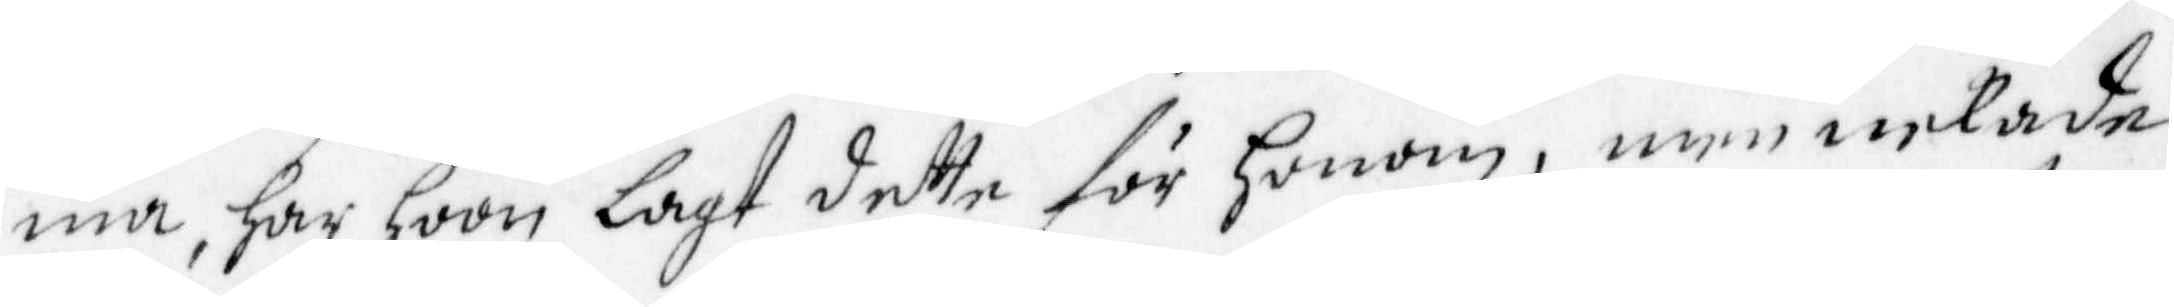ma, har hoon lagt dette för honom, men nekade
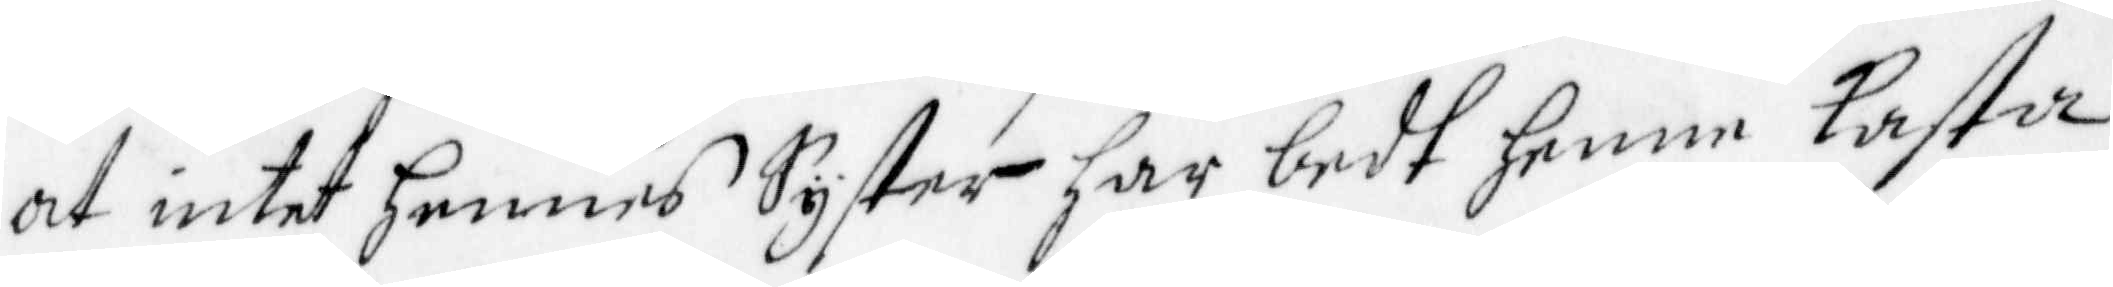at intet hennes Syster har bedt henne Kasta
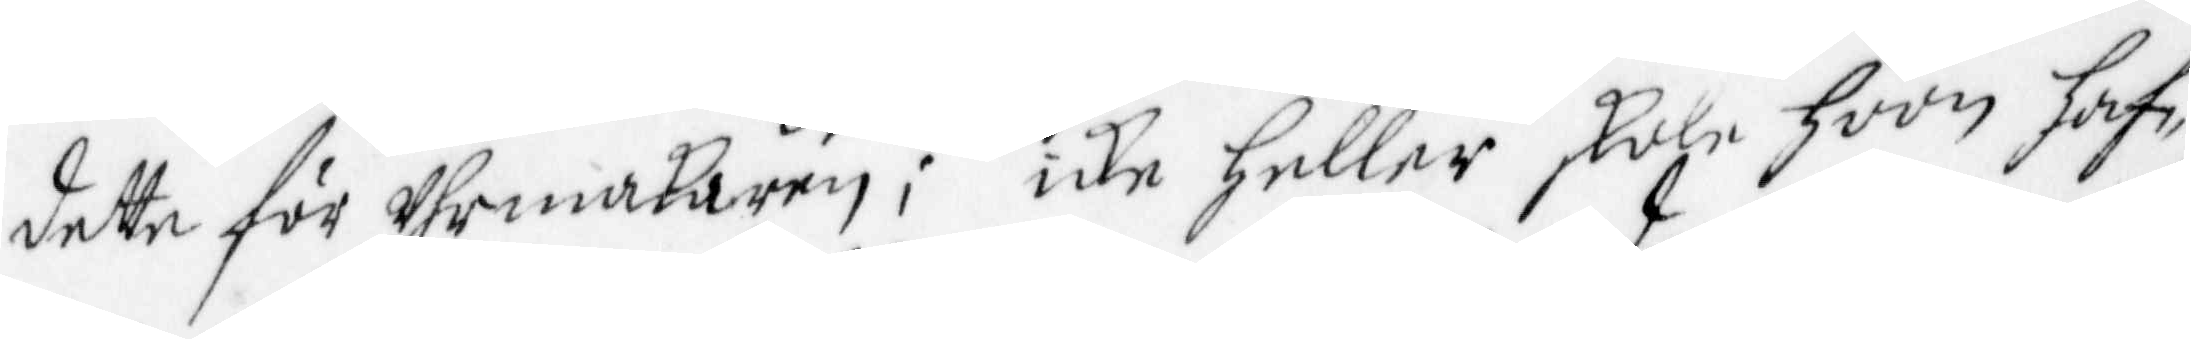detta för Uhrmakaren; icke Heller skole hoon haf¬
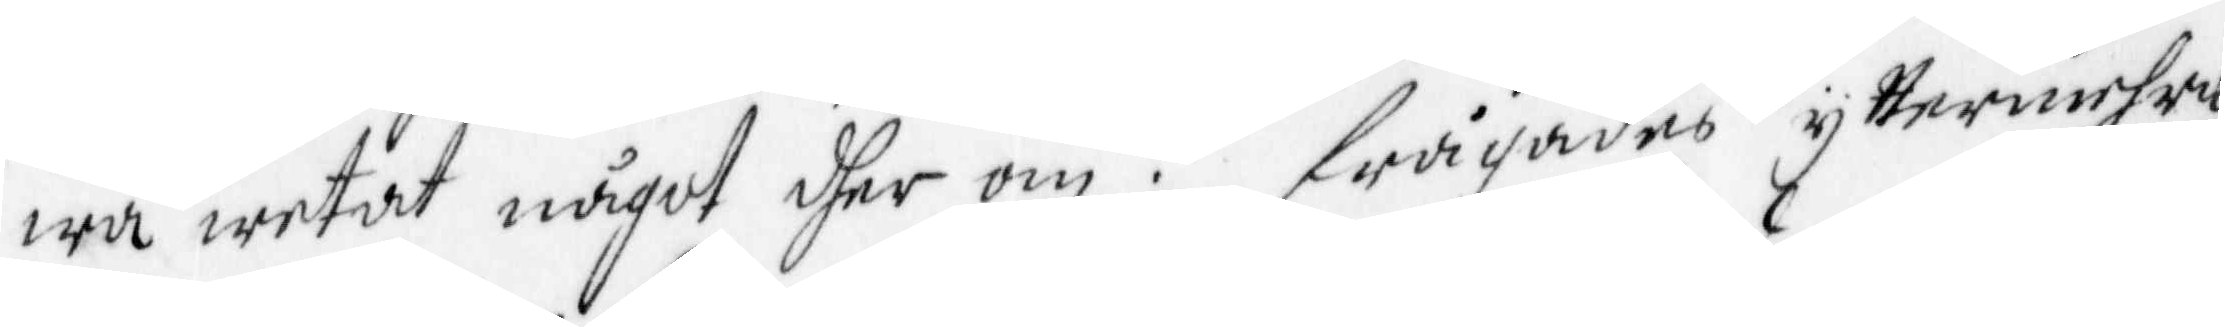wa wetat något dher om. Frågades yttermehra
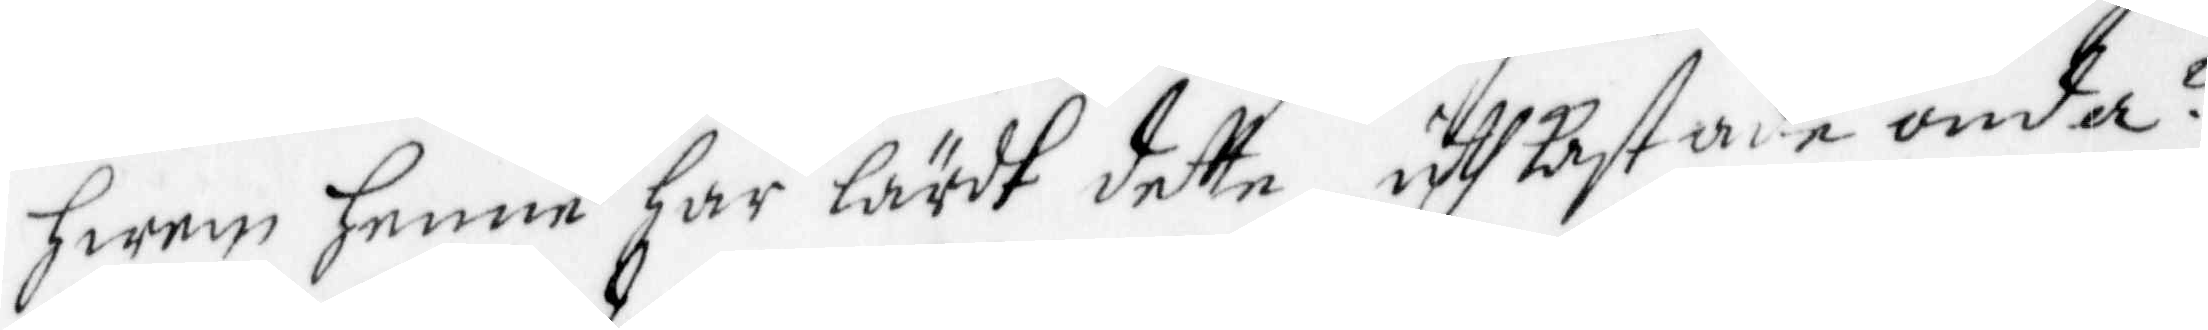hwem henne har lärdt dette uthkastade onda?
